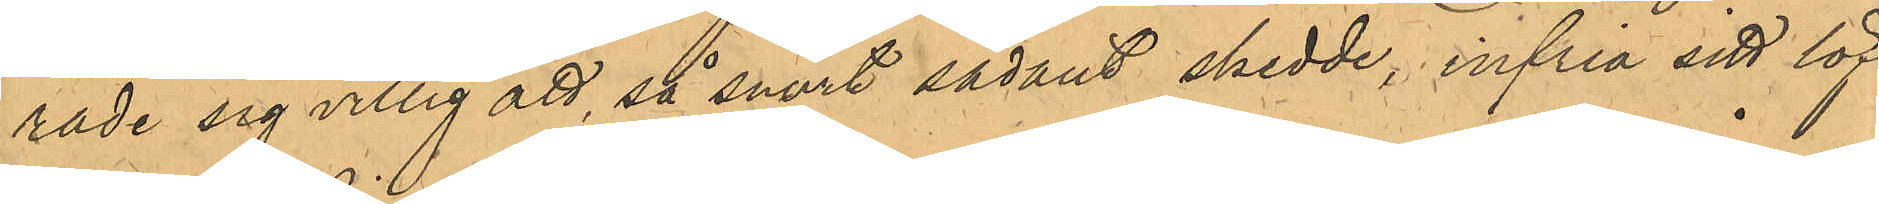rade sig villig att, så snart sådant skedde, infria sitt löf¬
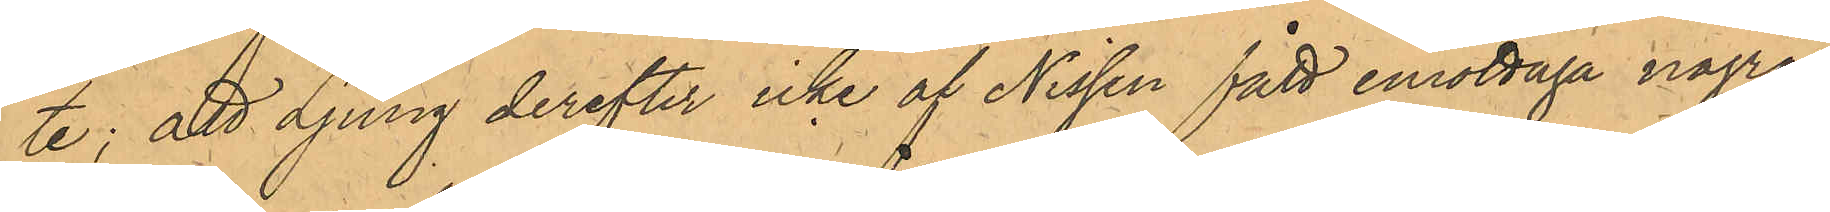te; att Ljung derefter icke af Nissen fått emottaga några
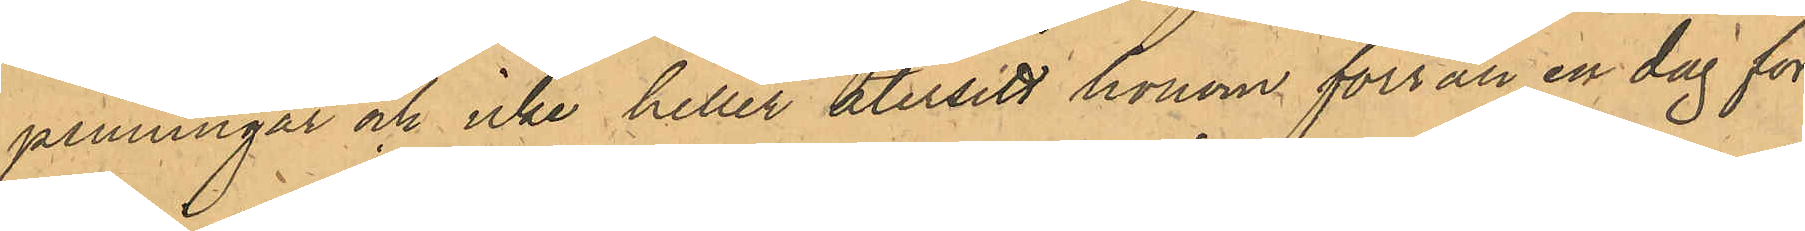penningar och icke heller återsett honom förrän en dag för
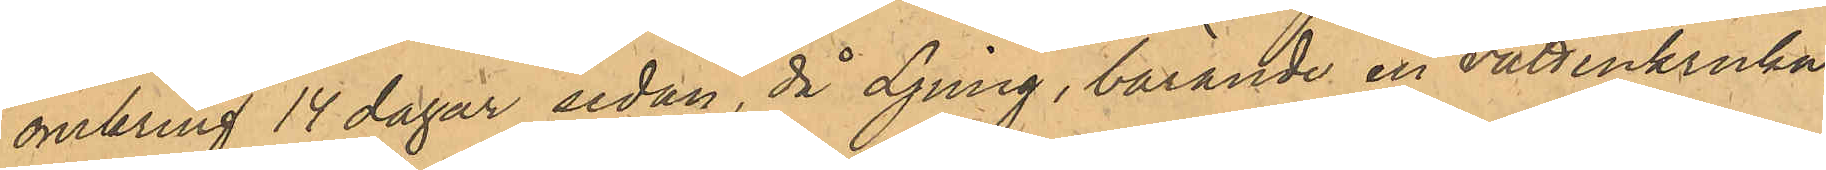omkring 14 dagar sedan, då Ljung, bärande en vattenkruka
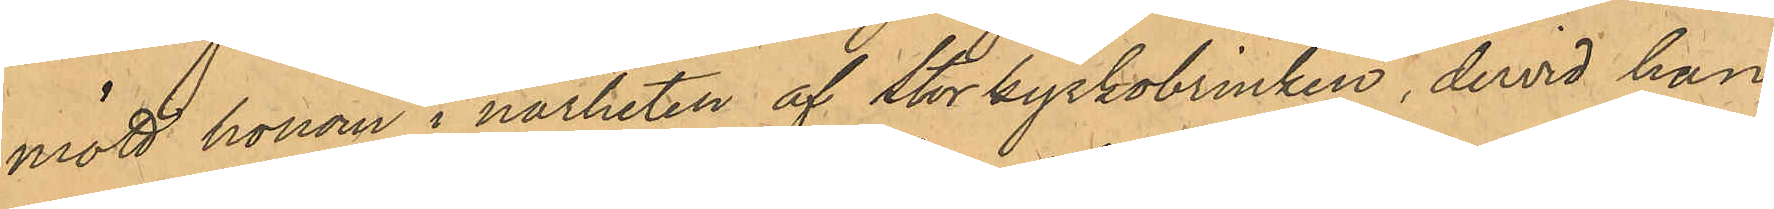mött honom i närheten af Storkyrkobrinken, dervid han,
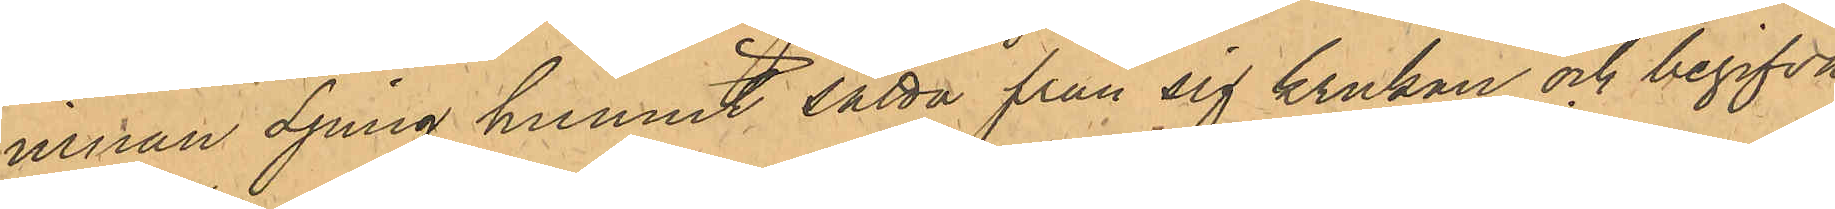innan Ljung hunnit sätta från sig krukan och begifva
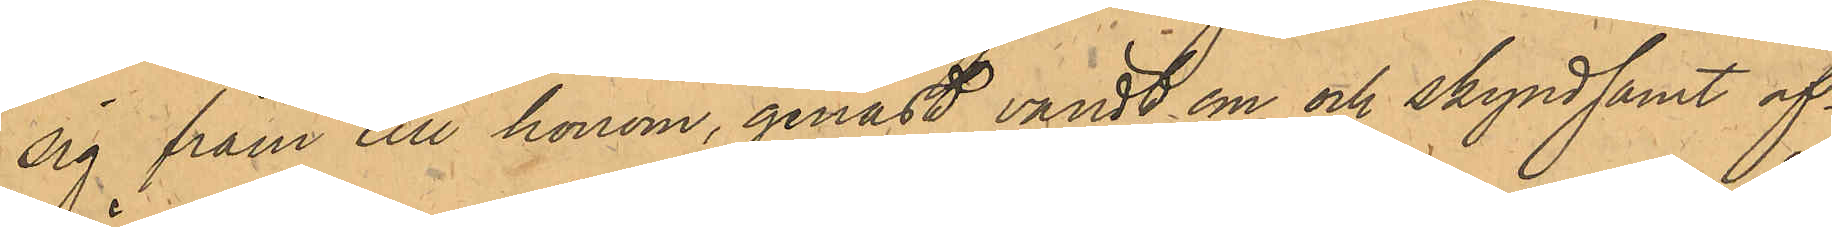sig fram till honom, genast vändt om och skyndsamt af¬
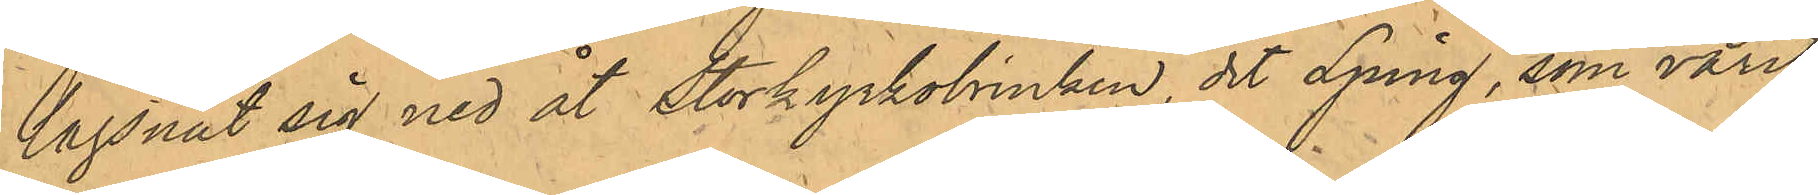lägsnat sig ned åt Storkyrkobrinken, dit Ljung, som varit
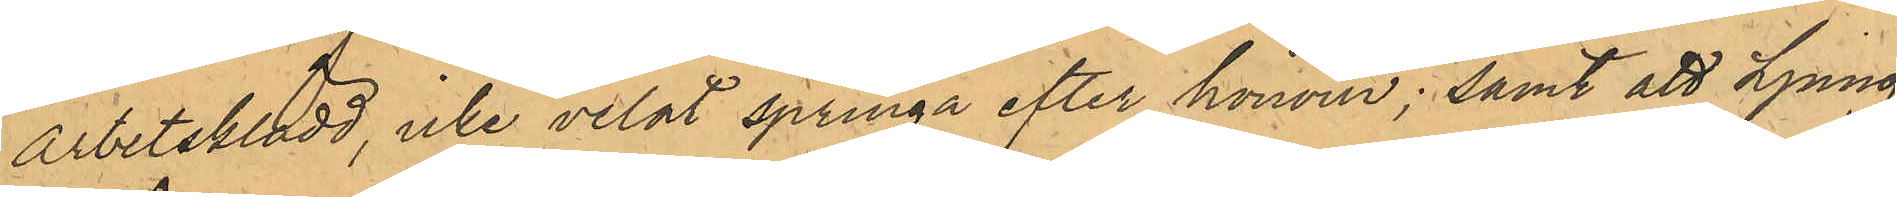arbetsklädd, icke velat springa efter honom; samt att Ljung,
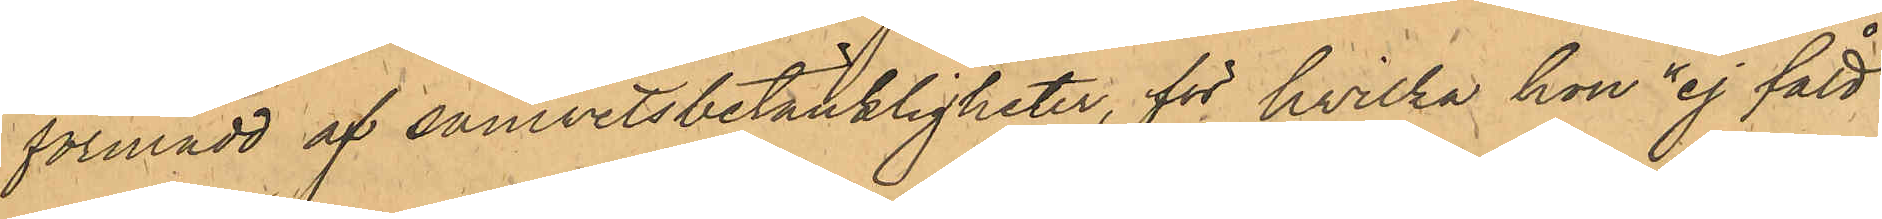förmådd af samvetsbetänkligheter, för hvilka hon "ej fått
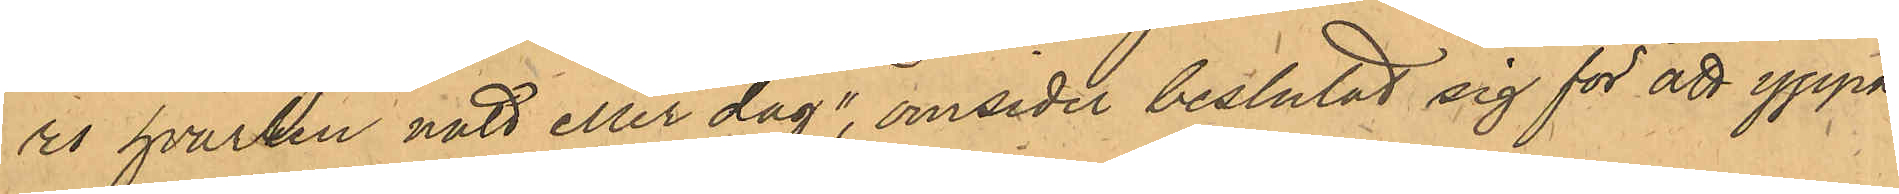ro hvarken natt eller dag", omsider beslutat sig för att yppa
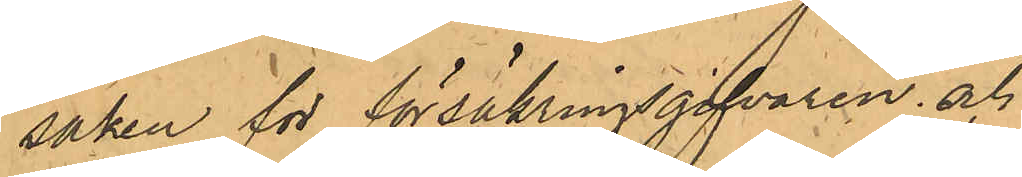saken för försäkringsgifvaren; och
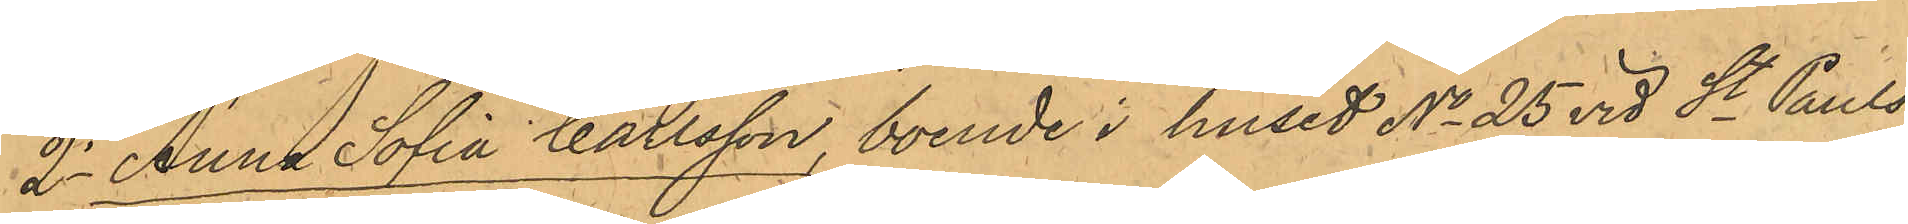2o Anna Sofia Carlsson, boende i huset No 25 vid St. Pauls¬
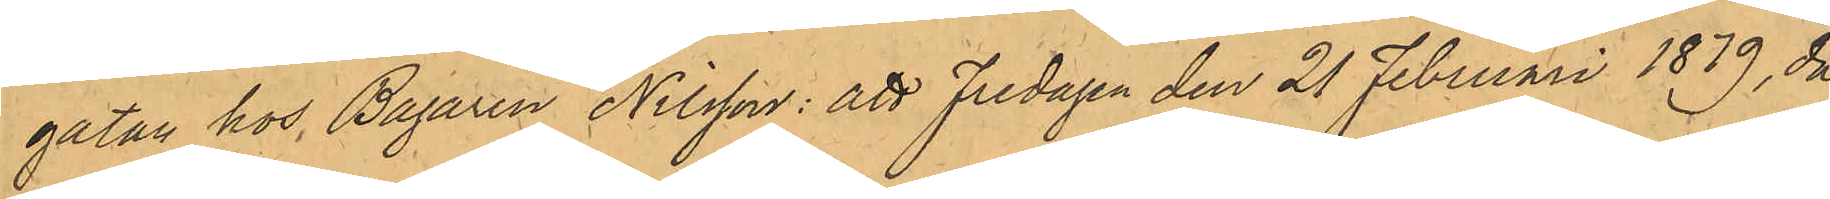gatan hos Bagaren Nilsson: att Fredagen den 21 Februari 1879, då
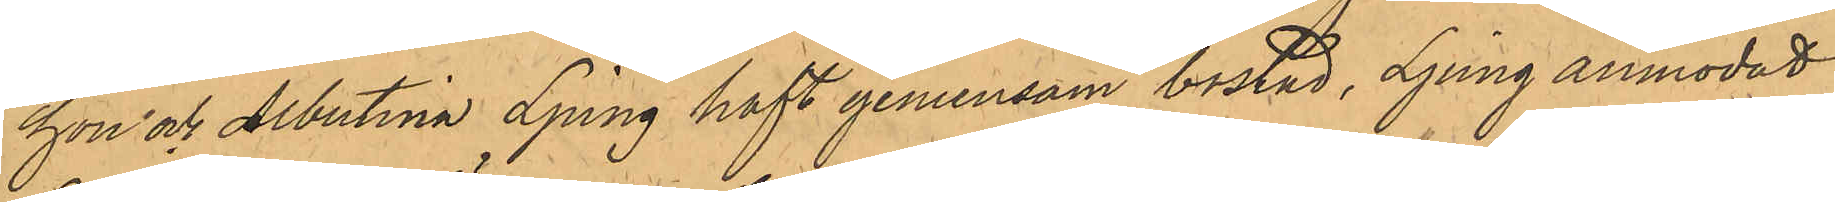hon och Albertina Ljung haft gemensam bostad, Ljung anmodat
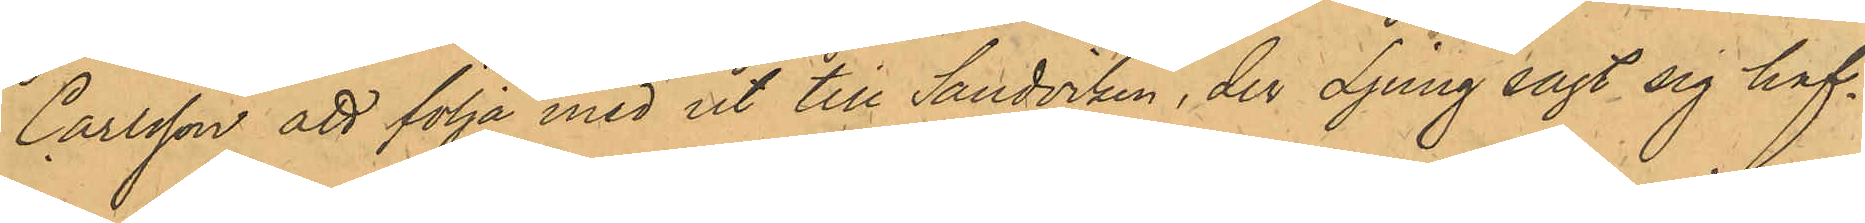Carlsson att följa med ut till Sandviken, der Ljung sagt sig haf¬
